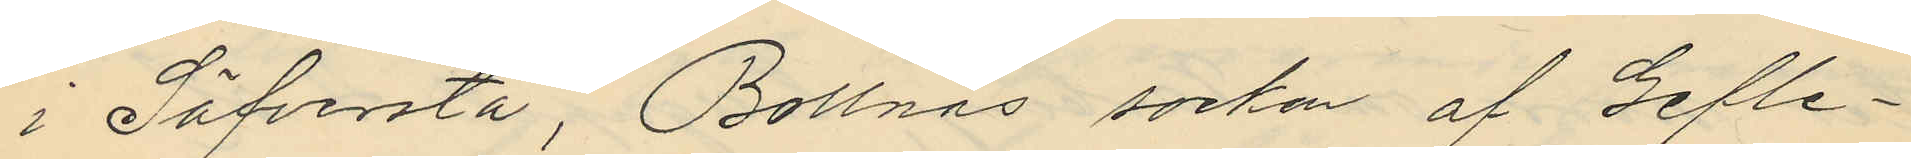i Säfversta, Bollnäs socken af Gefle¬
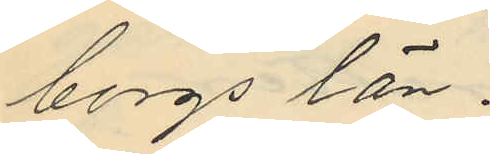borgs län.
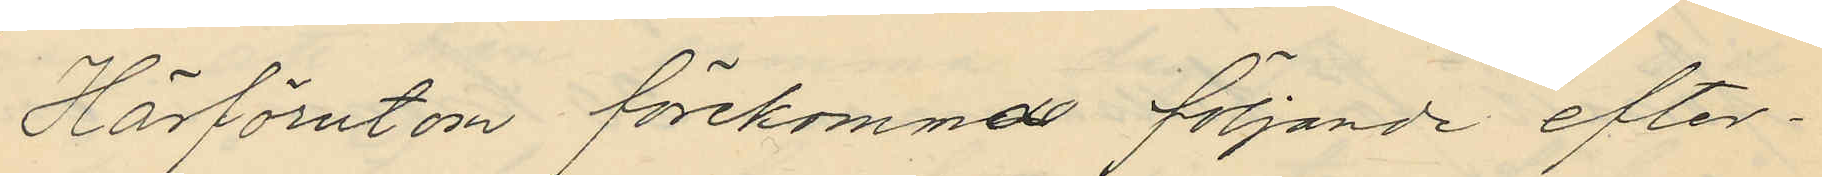Härförutom förekomna följande efter¬
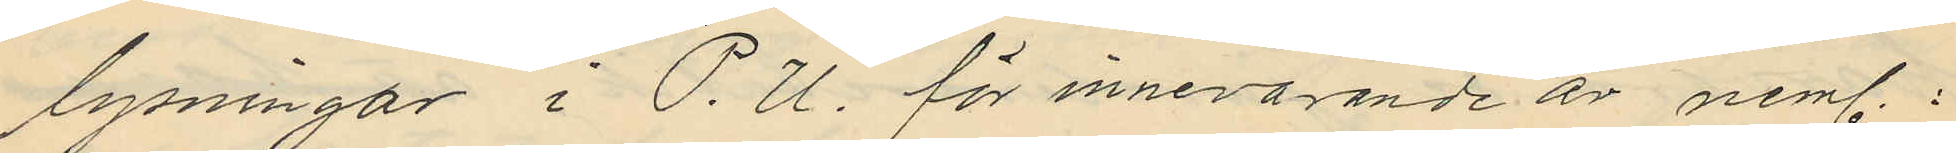lysningar i P. U. för innevarande år neml.:
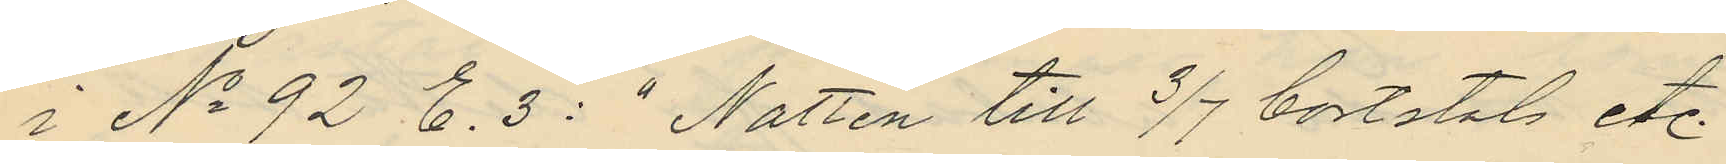i No 92 E. 3: "Natten till 3/7 bortstals etc."
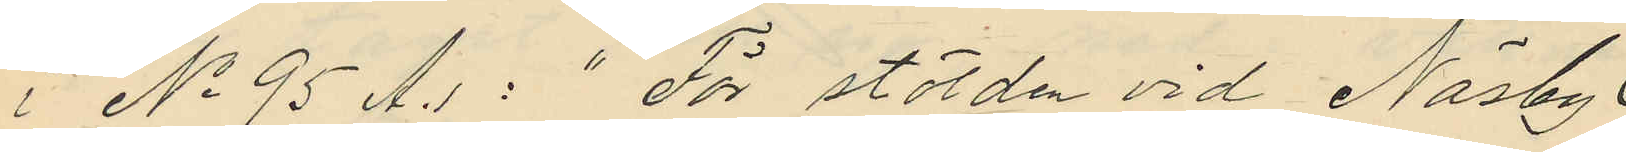i No 95 A.1: "För stölden vid Näsby
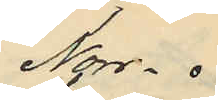Norr¬
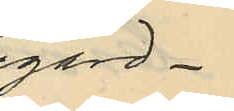gård
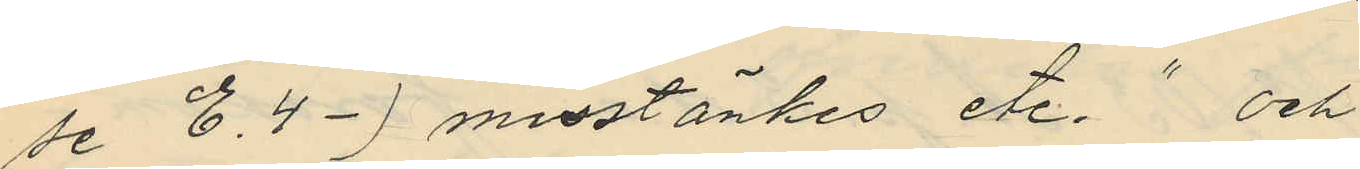se E.4-) misstänkes etc." och
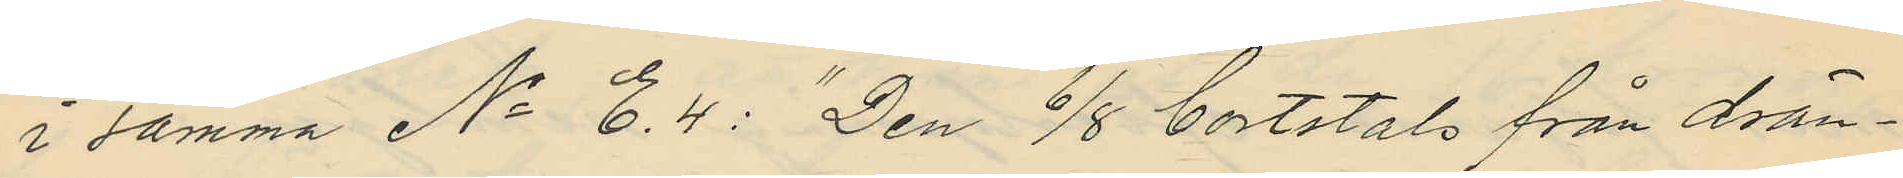i samma No E.4: "Den 6/8 bortstals från drän¬
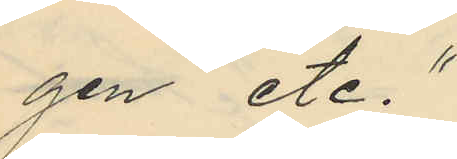gen etc."
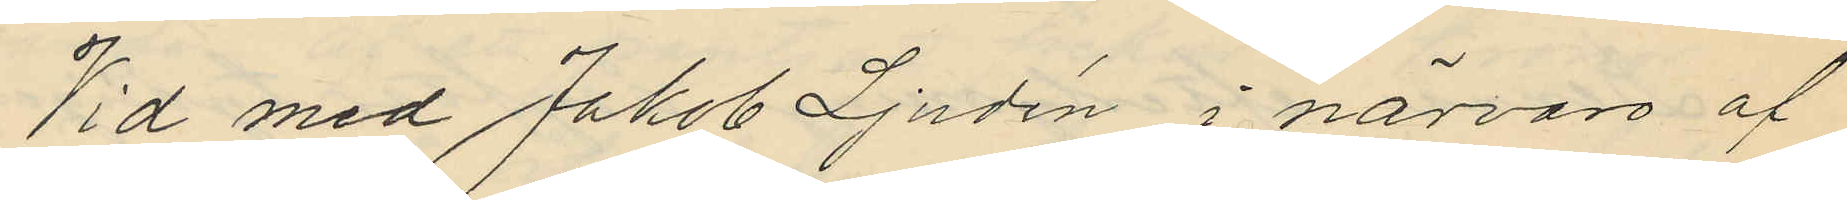Vid med Jakob Ljudén i närvaro af
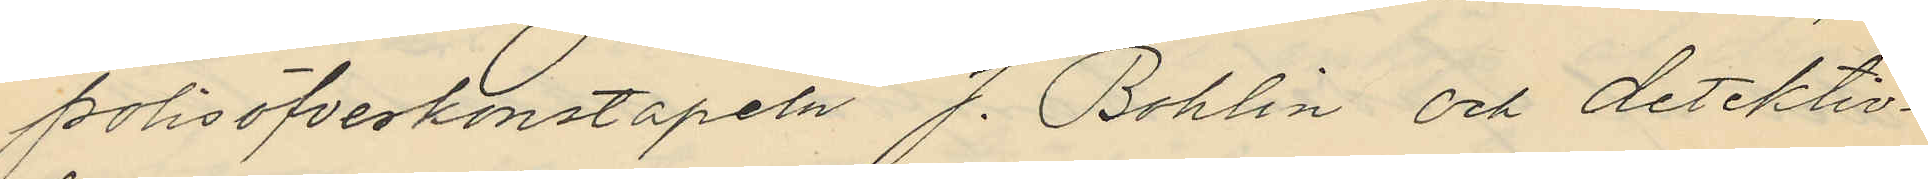polisöfverkonstapeln J. Bohlin och detektiv¬
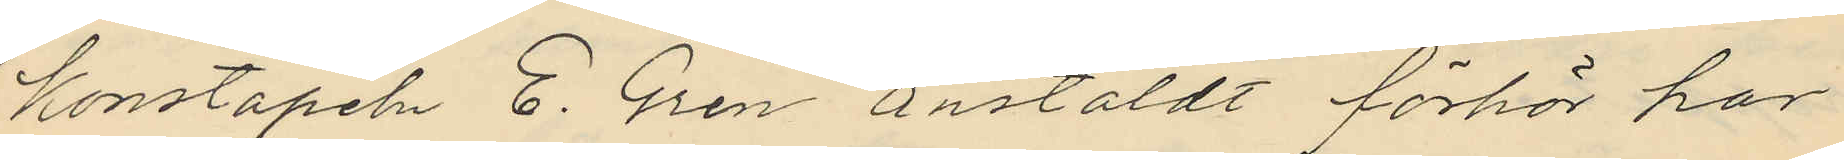konstapeln E. Gren anstäldt förhör har
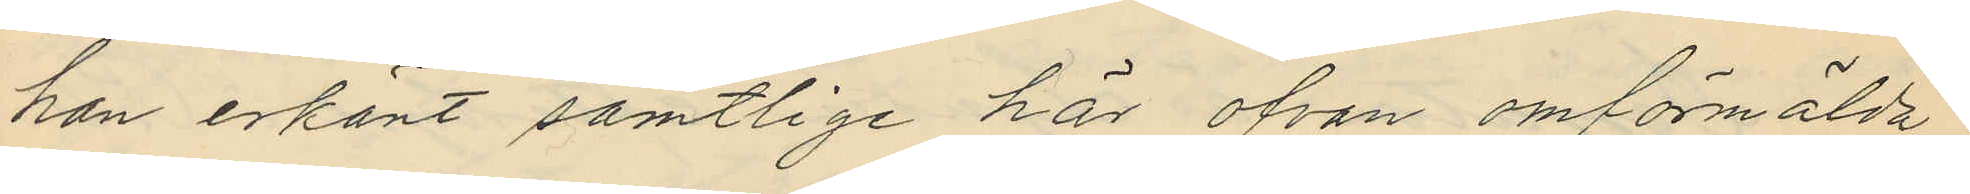han erkänt samtlige här ofvan omförmälda
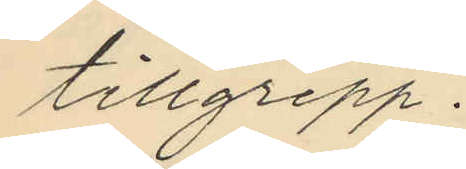tillgrepp.
